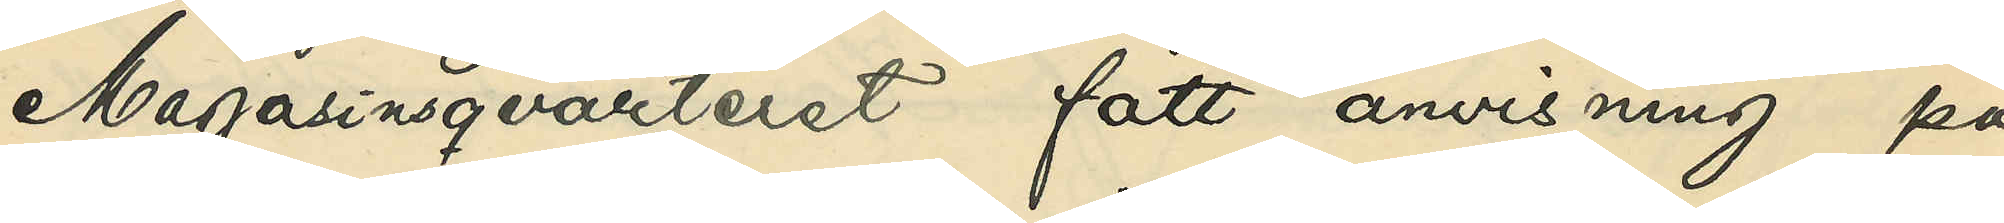Magasinsqvarteret fått anvisning på
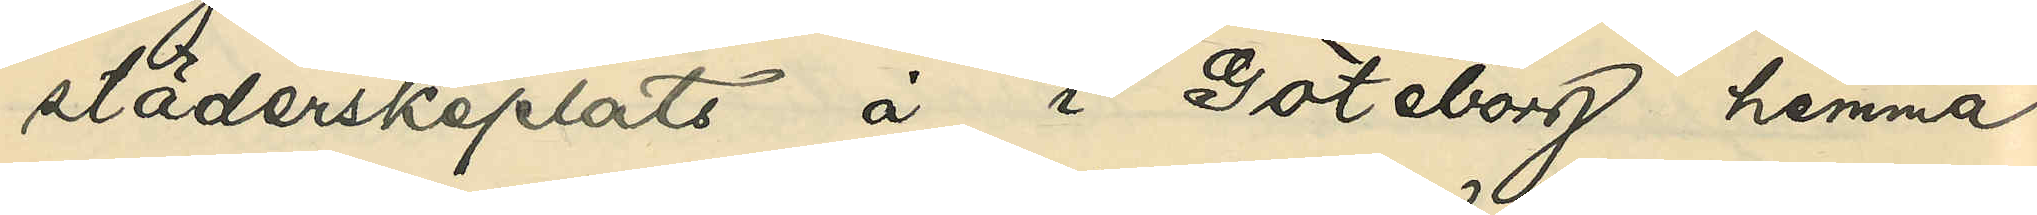städerskeplats å i Göteborg hemma¬
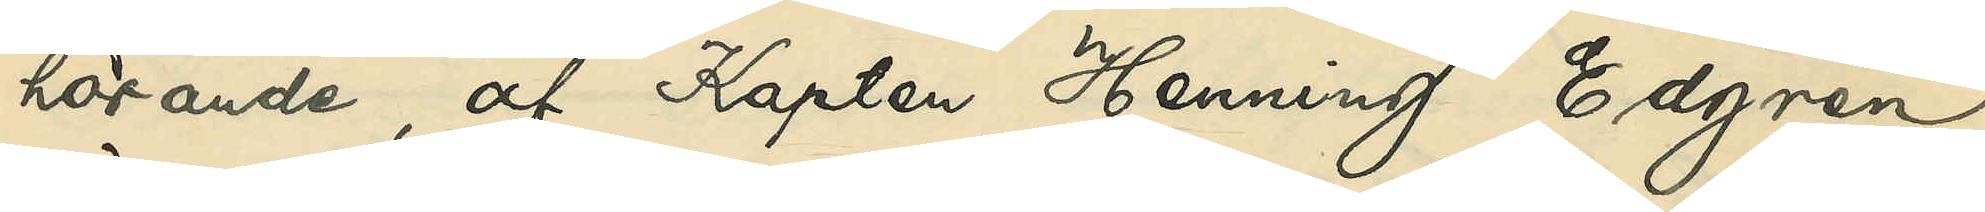hörande, af Kapten Henning Edgren
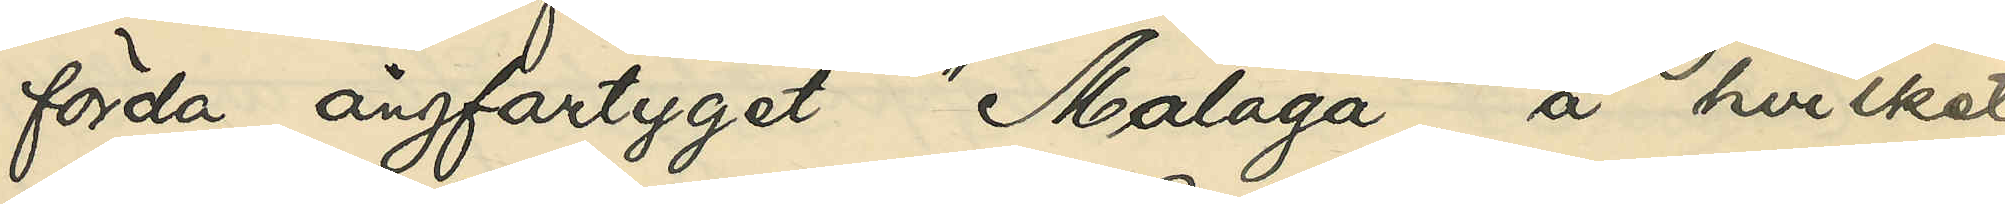förda ångfartyget "Malaga", å hvilket
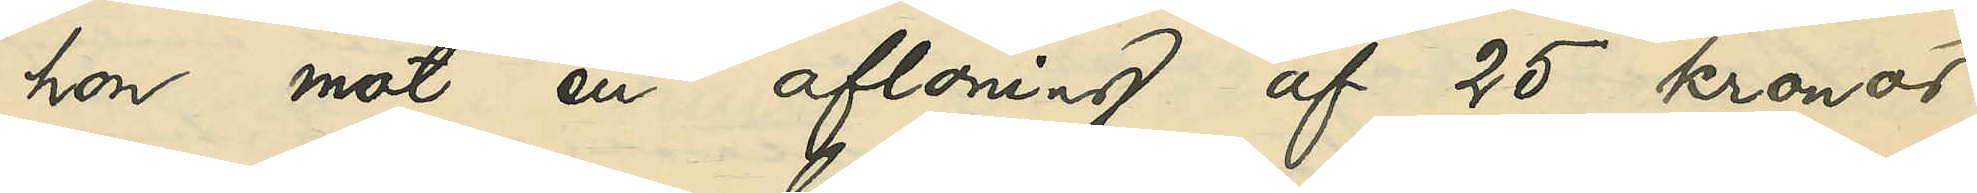hon mot en aflöning af 25 kronor
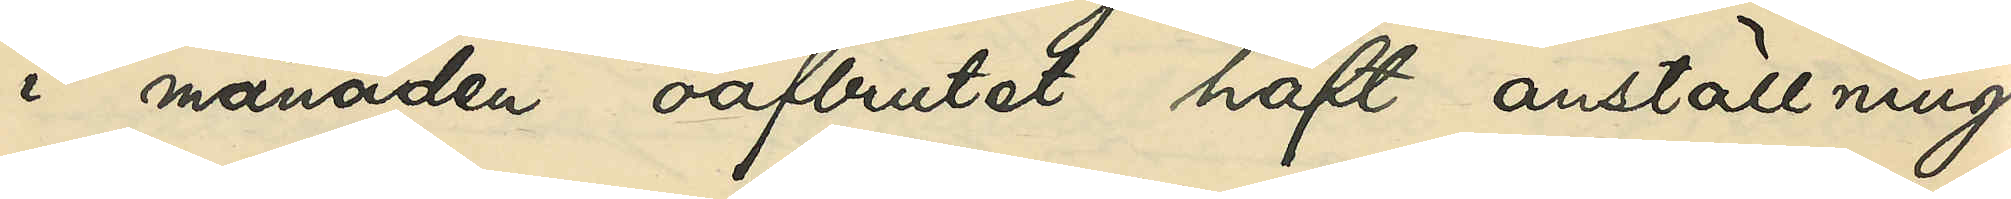i månaden oafbrutet haft anställning
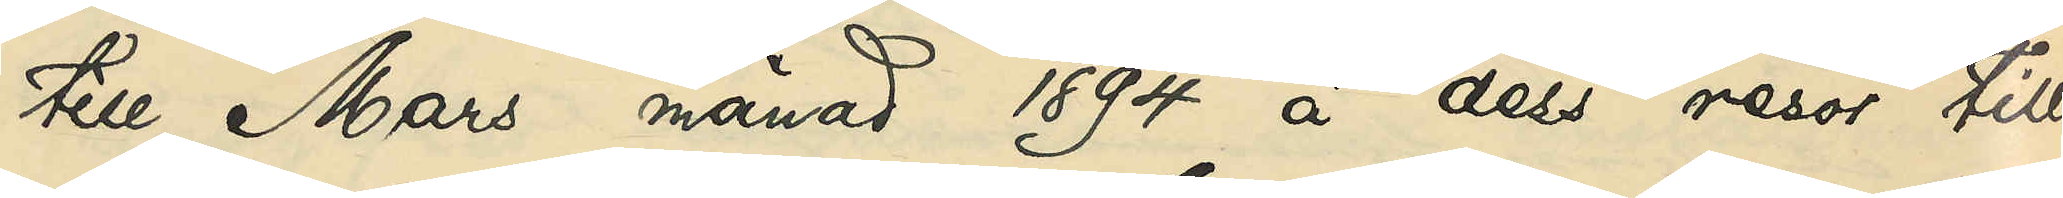till Mars månad 1894 å dess resor till
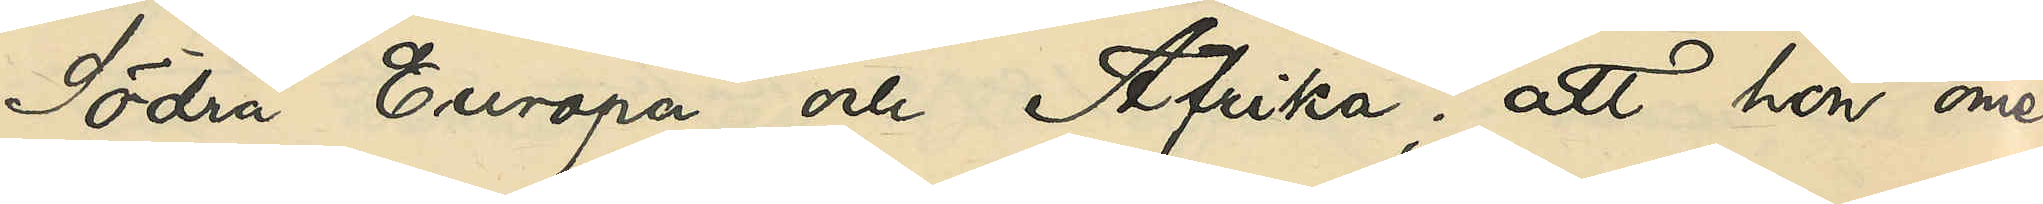Södra Europa och Afrika; att hon ome¬
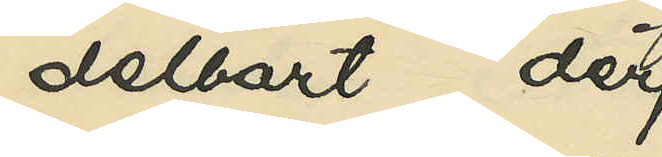delbart der¬
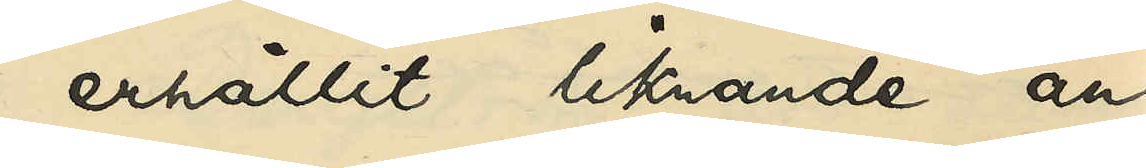erhållit liknande an¬
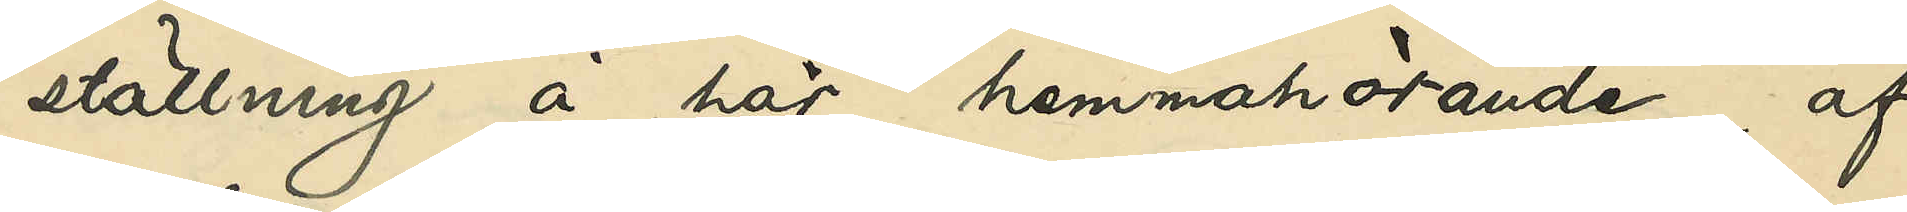ställning å här hemmahörande, af
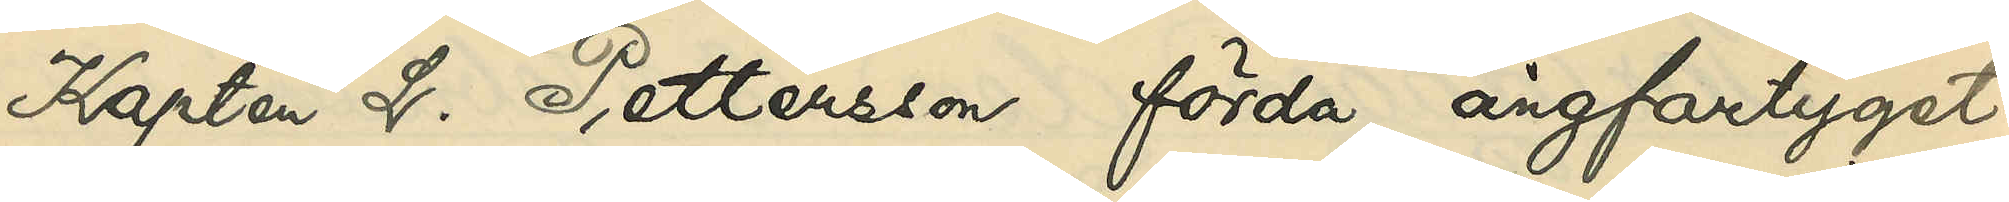Kapten L. Pettersson förda ångfartyget
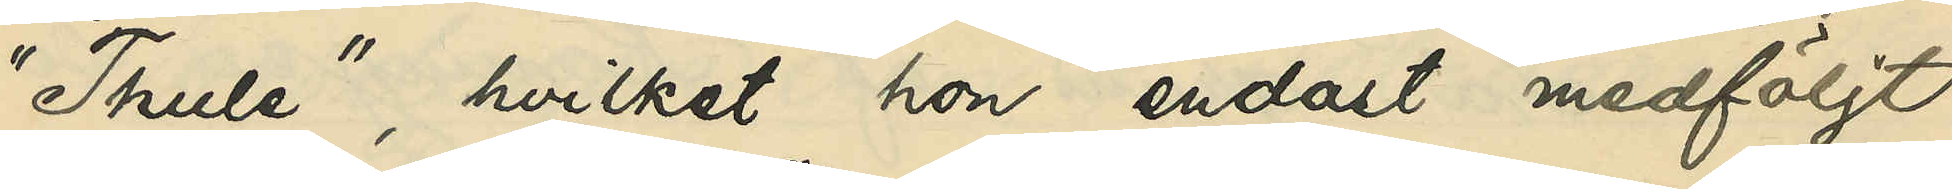"Thule", hvilket hon endast medföljt
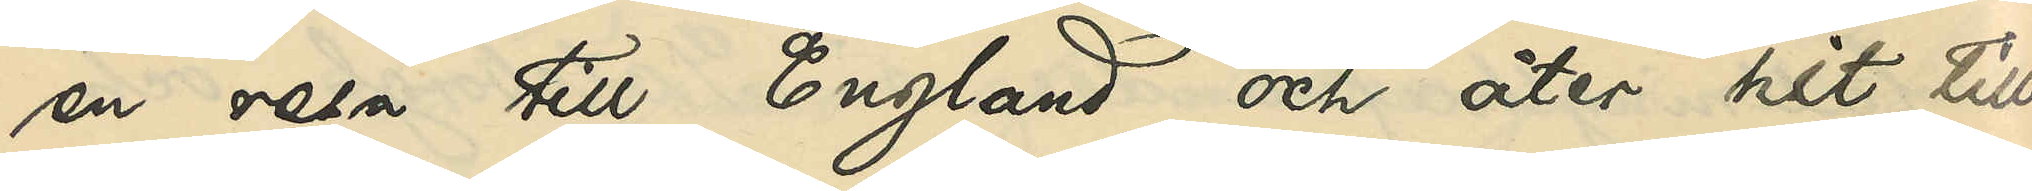en resa till England och åter hit till
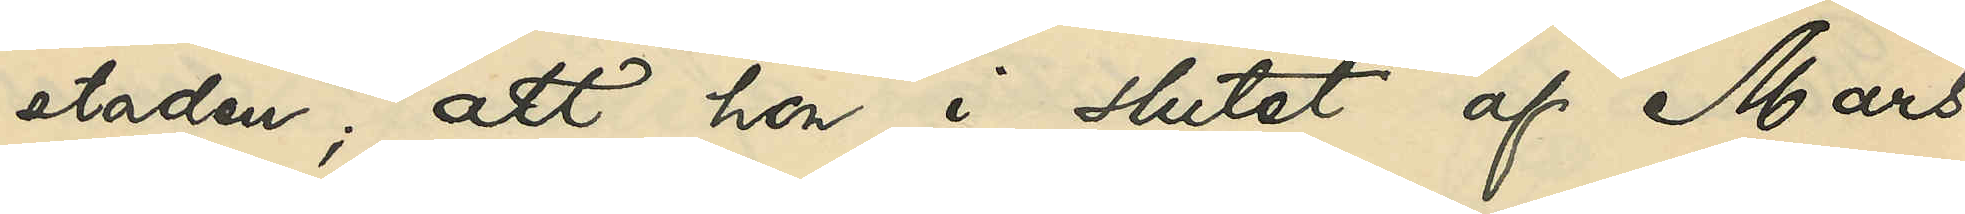staden; att hon i slutet af Mars
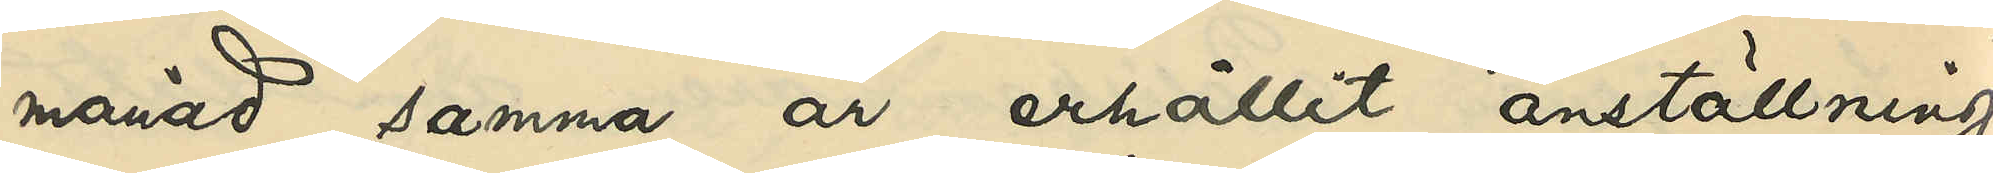månad samma år erhållit anställning
